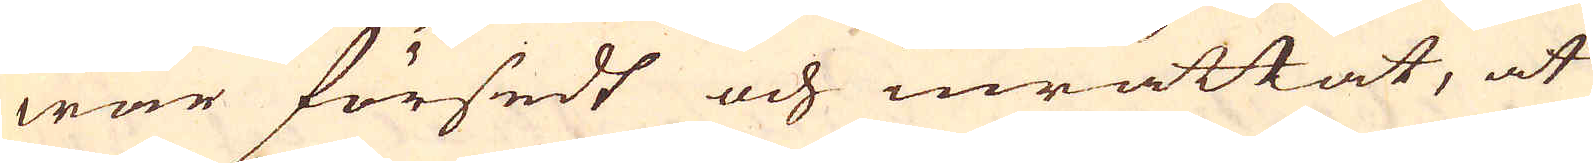war försedt och inrättat, at
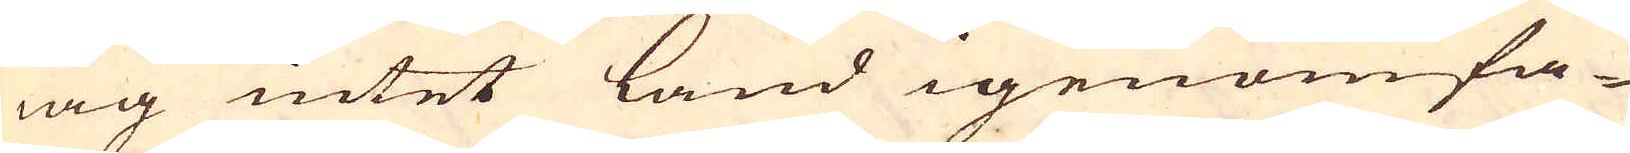iag intet land igenomfa-
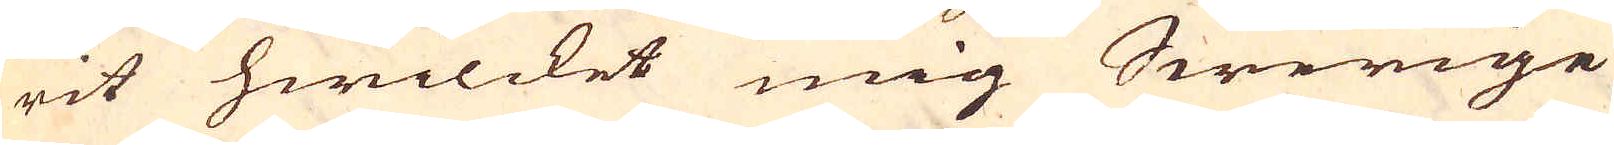rit hwilcket mig Swerige
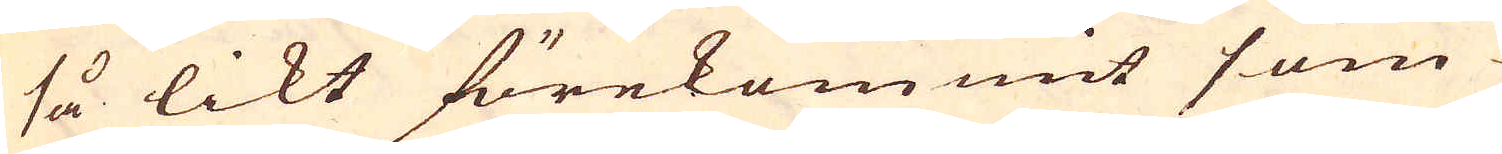så likt förekommit som
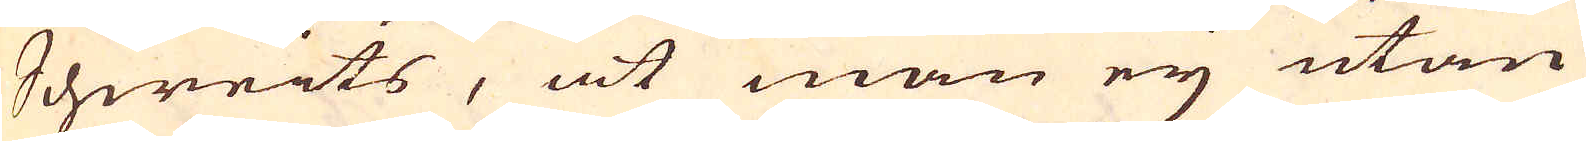Schweits, at man eij utan
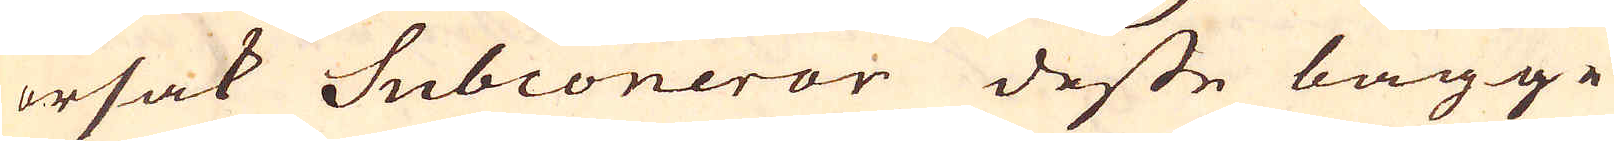orsak Subconerar desse bägge
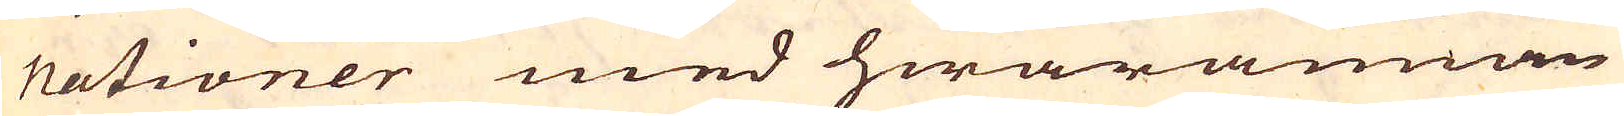nationer med hwarannan
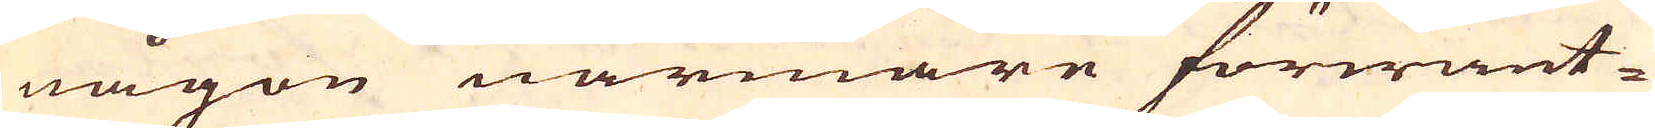någon närmare förwant-
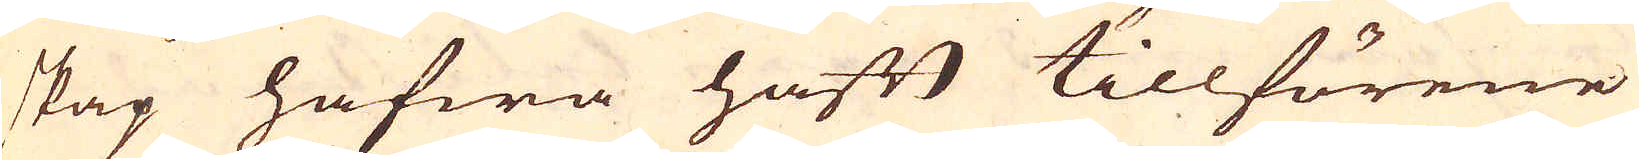skap hafwa haft tillförene
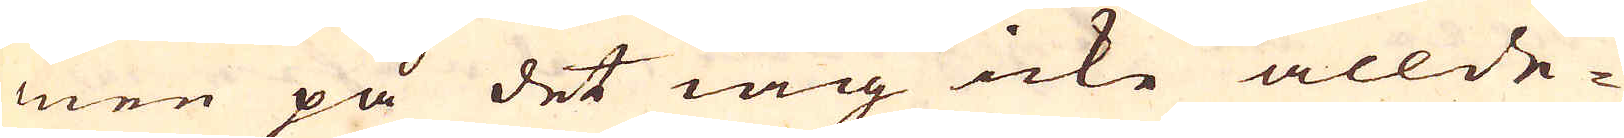men på det iag icke allde-
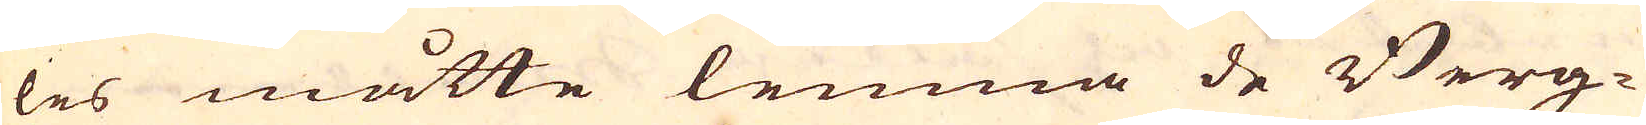les måtte lemna de Berg-
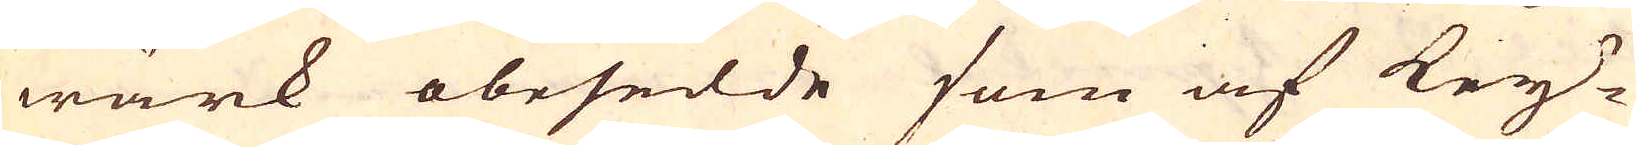wärk obesedde som af Key-
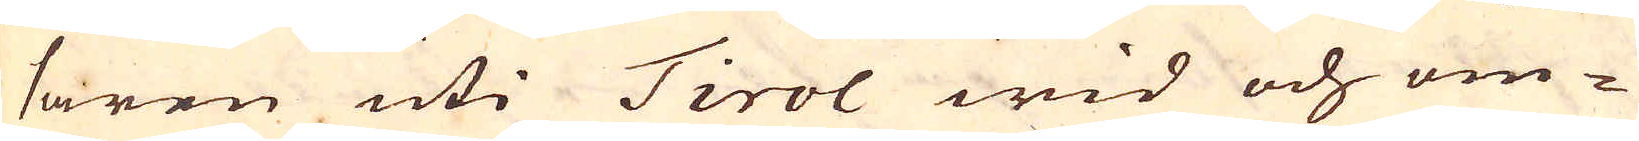saren uti Tirol wid och om-
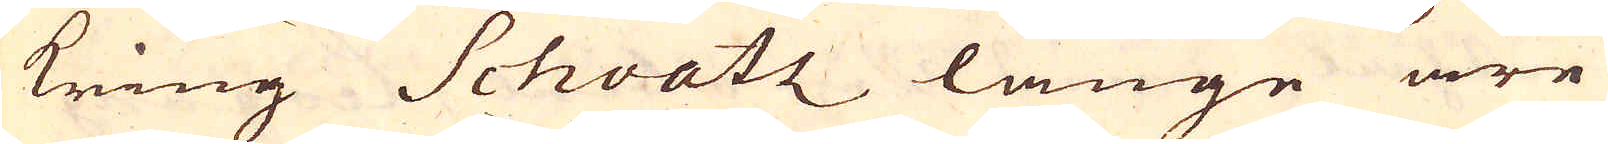kring Schvatz länge äre
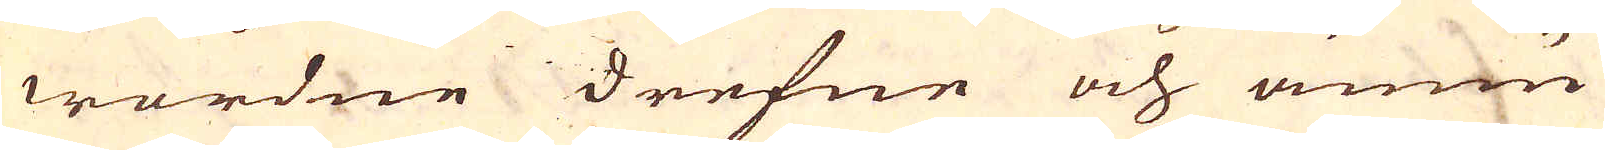wordne drefne och ännu
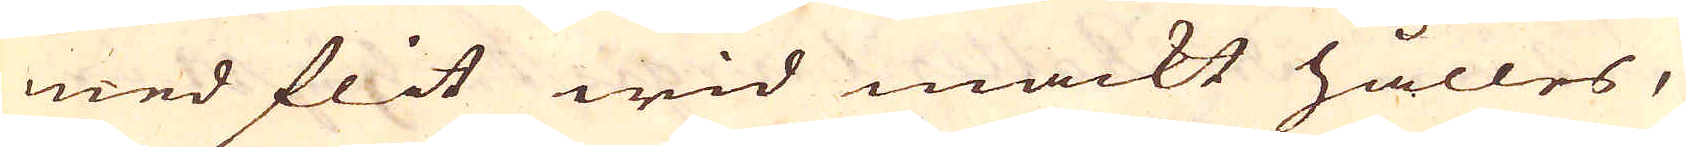med flit wid mackt hålles,
